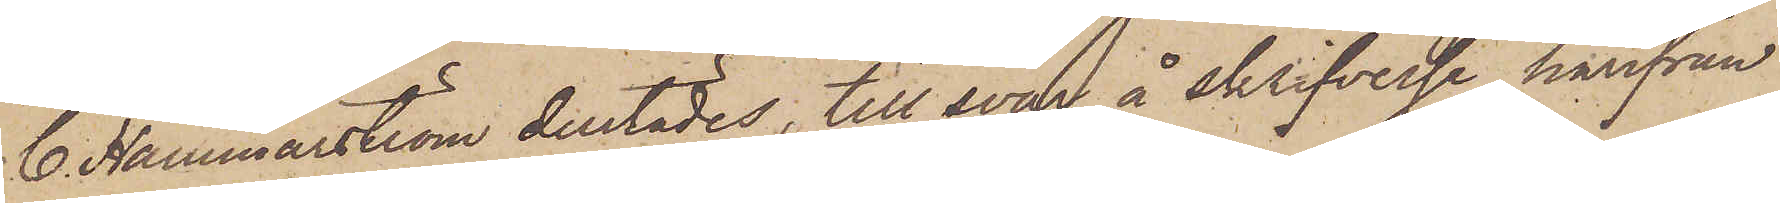C. Hammarström derstädes, till svar å skrifvelse härifrån
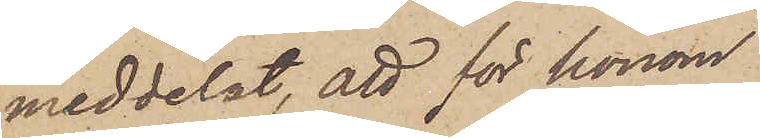meddelat, att för honom
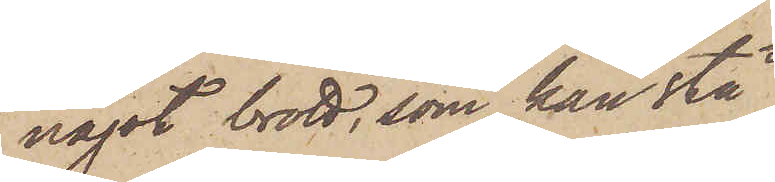något brott, som kan stå
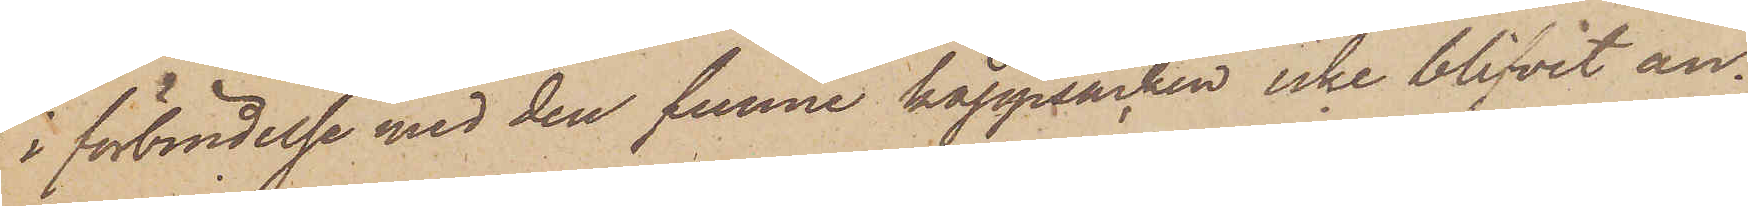i förbindelse med den funne kappsäcken icke blifvit an¬
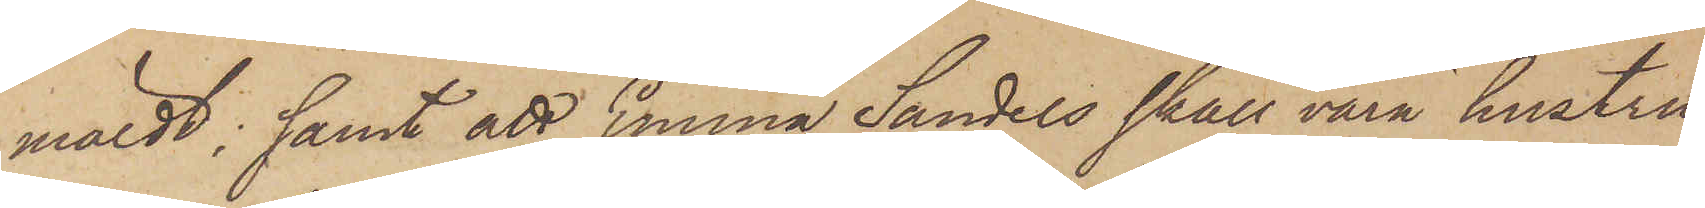mäldt; samt att Emma Sandels skall vara hustru
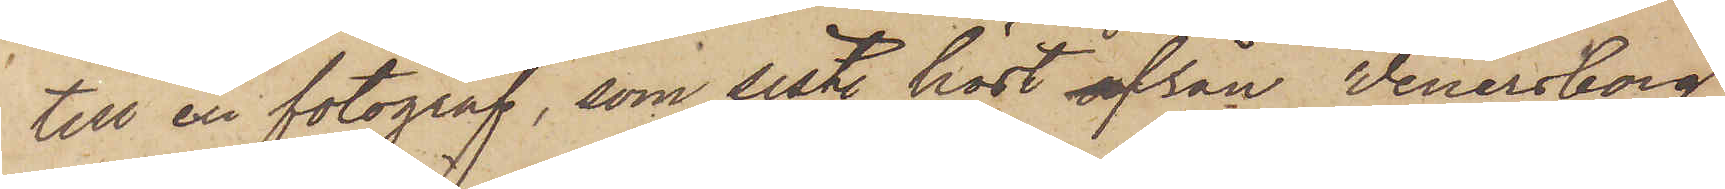till en fotograf, som sistl. höst från Wenersborg
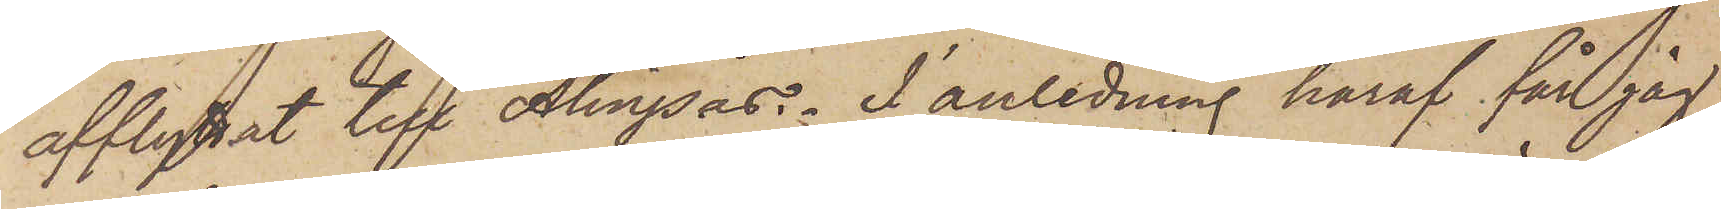afflyttat till Alingsås. I anledning häraf får jag
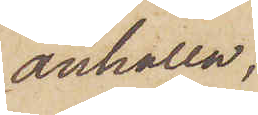anhålla,
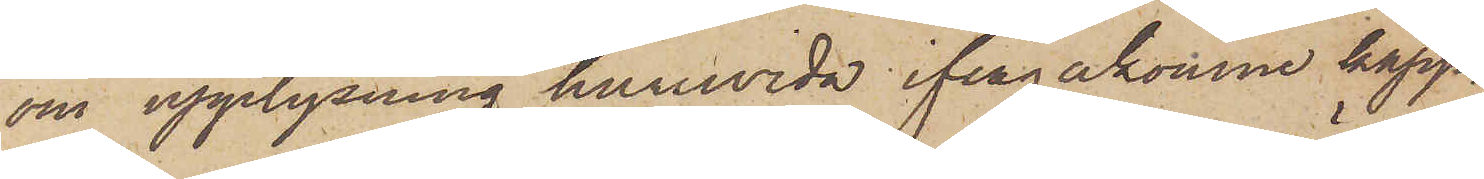om upplysning huruvida ifrågakomne kapp¬
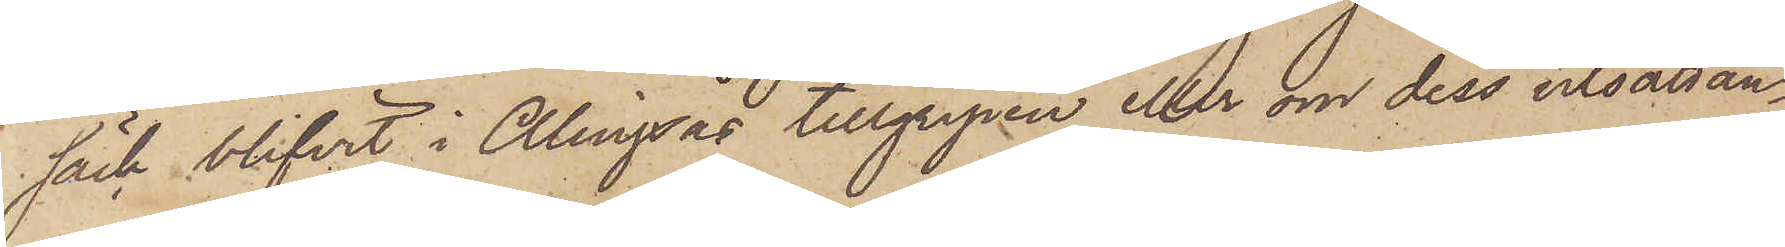säck blifvit i Alingsås tillgripen eller om dess utsättan¬
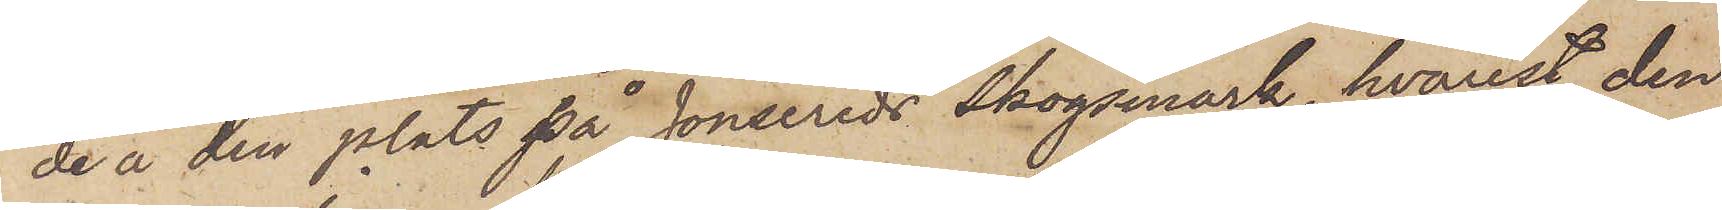de å den plats på Jonsereds Skogsmark, hvarest den
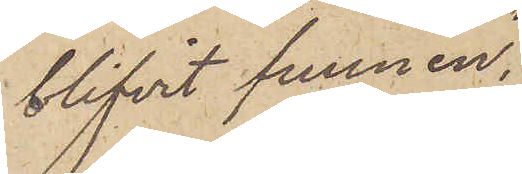blifvit funnen,
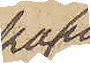kan
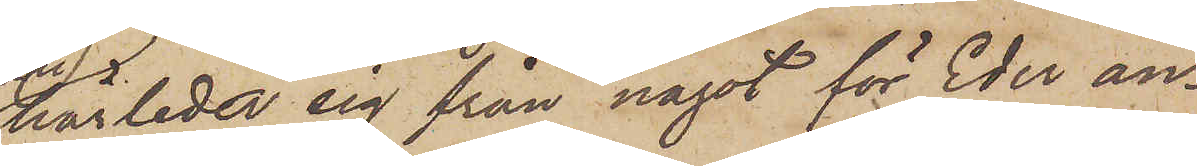härleda sig från något för Eder an¬
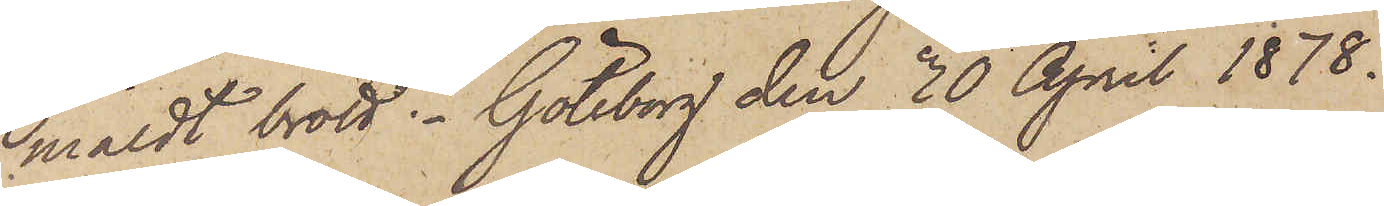mäldt brott. Göteborg den 30 April 1878.
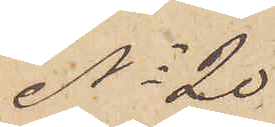No 20
